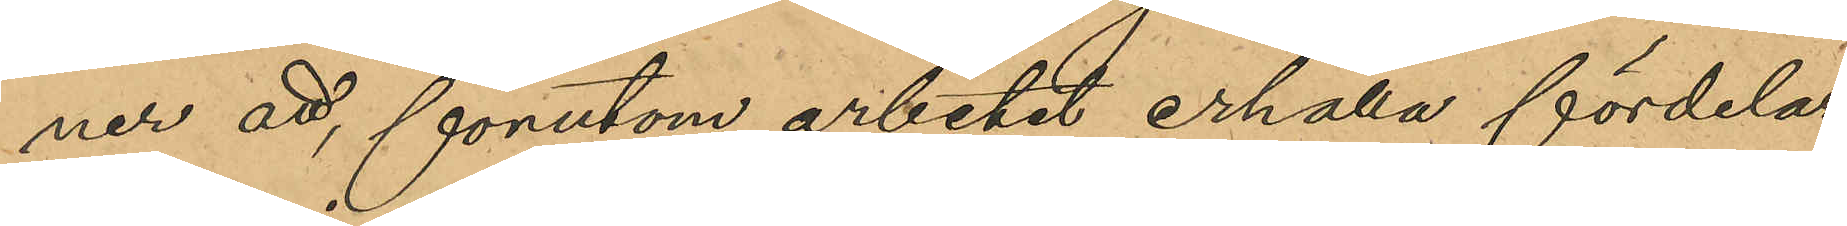ner att, förutom arbetet erhålla fördelar
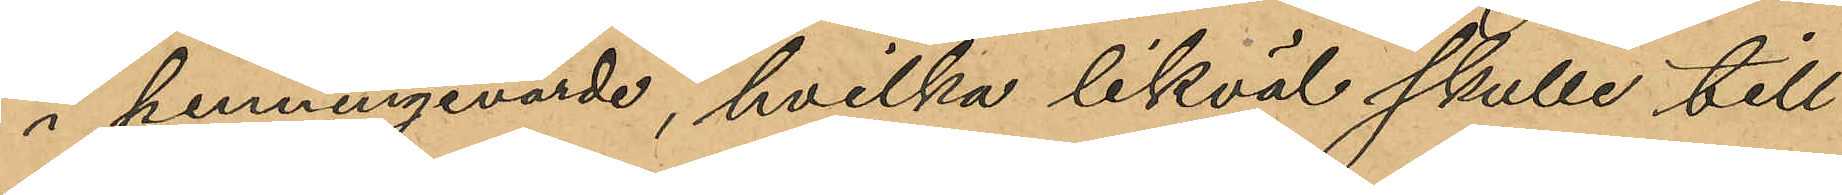i penningvärde, hvilka likväl skulle till¬
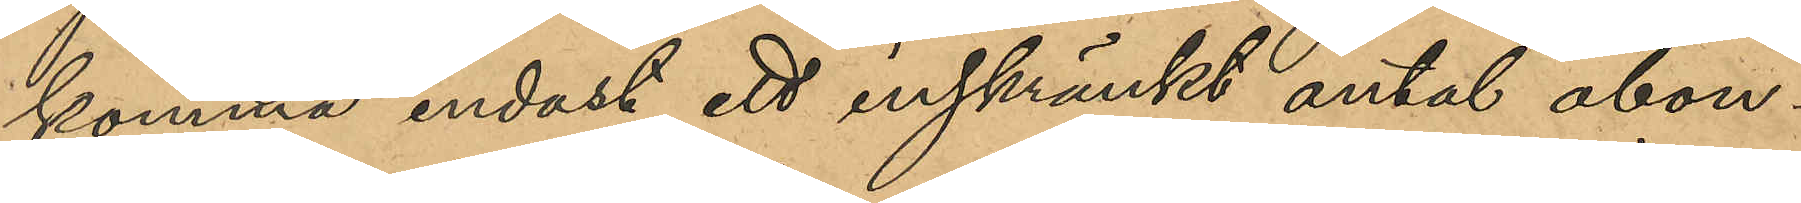komma endast ett inskränkt antal abon¬
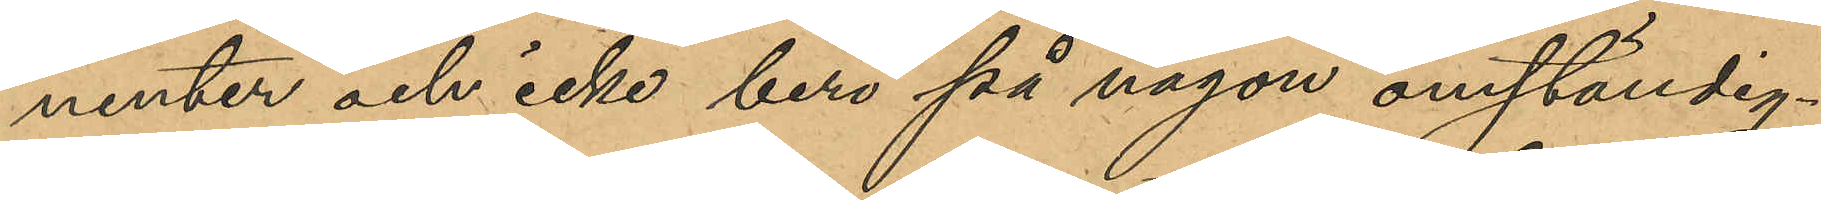nenter och icke bero på någon omständig¬
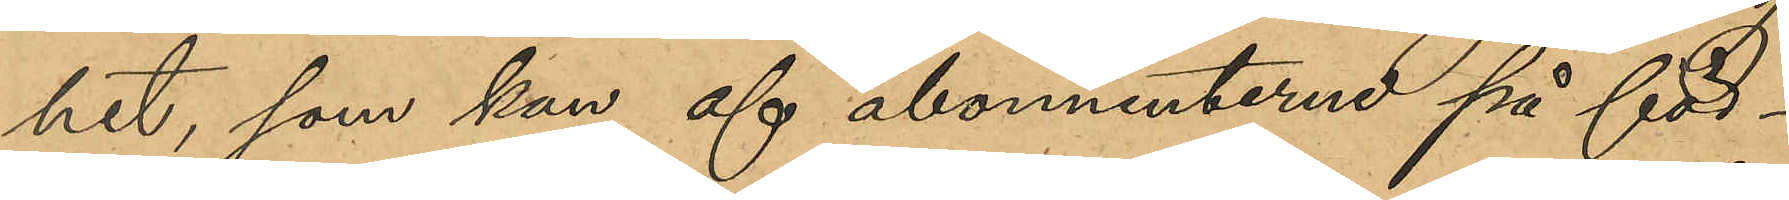het, som kan af abonnenterne på för¬
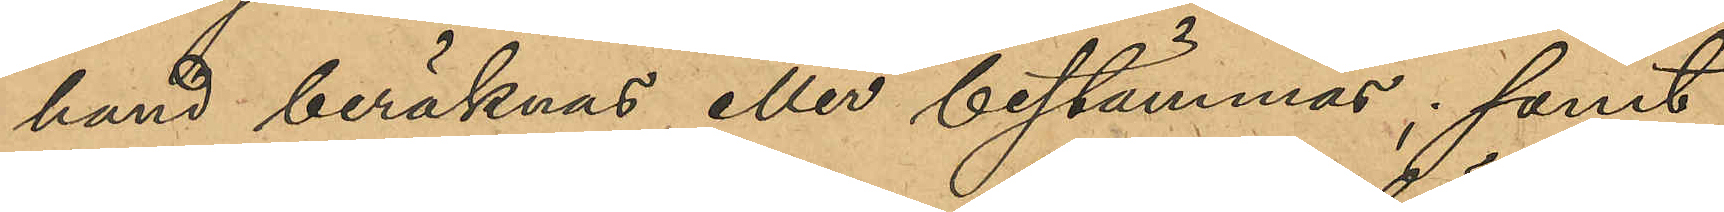hand beräknas eller bestämmas; samt
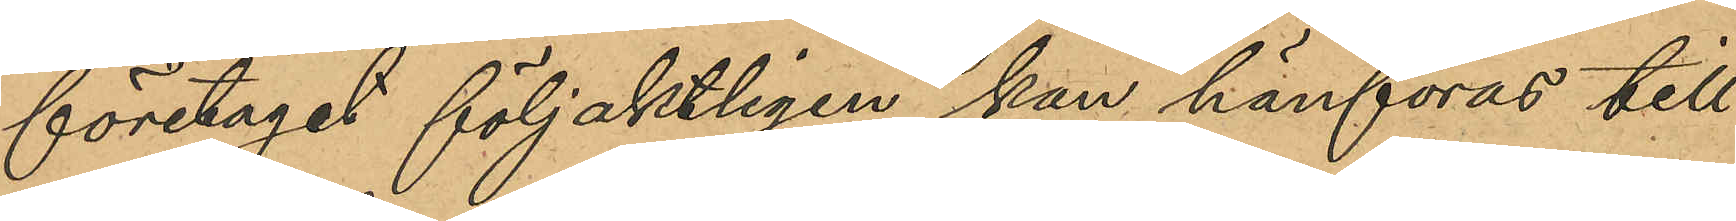företaget följaktligen kan hänföras till
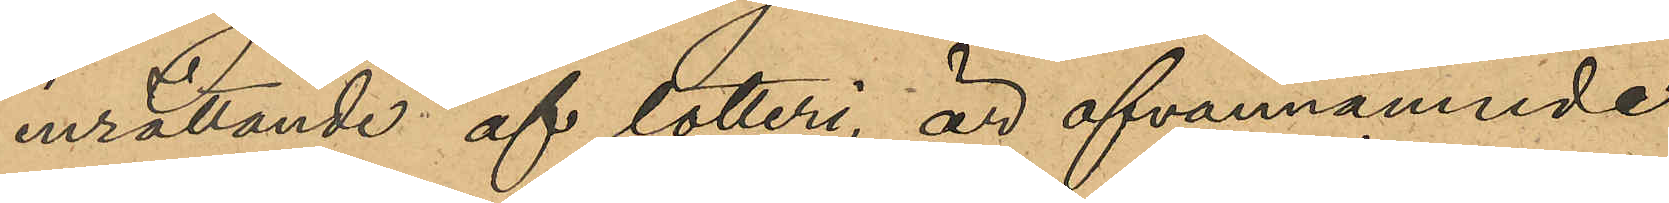inrättande af lotteri, är ofvannämnde
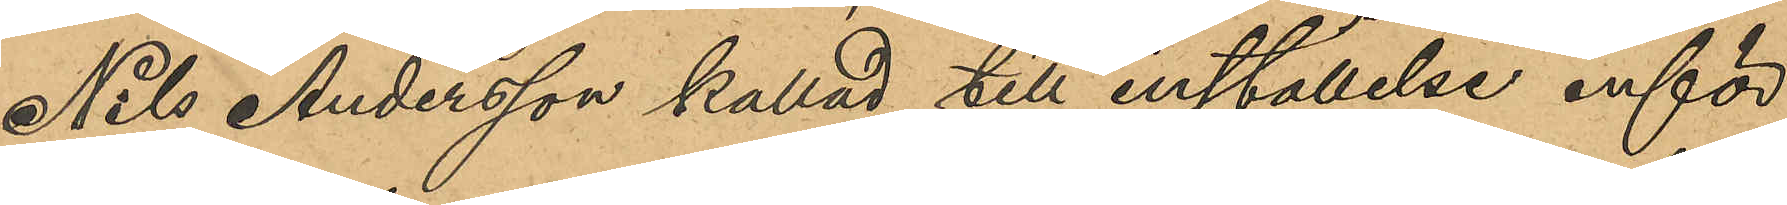Nils Andersson kallad till inställelse inför
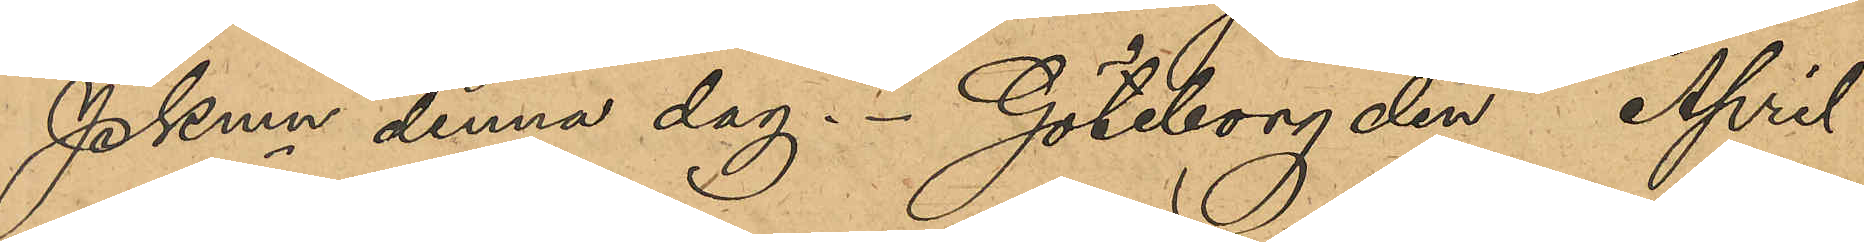PKmn denna dag. Göteborg den April
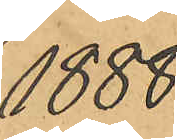1888.
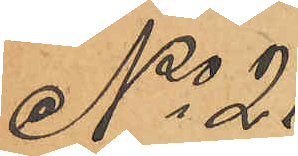No 21
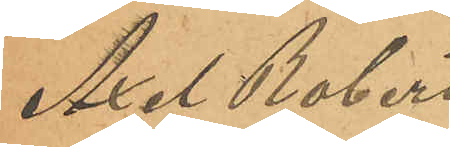Axel Robert
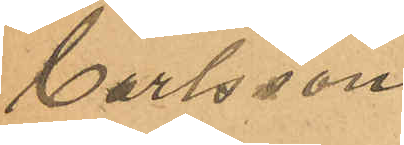Carlsson
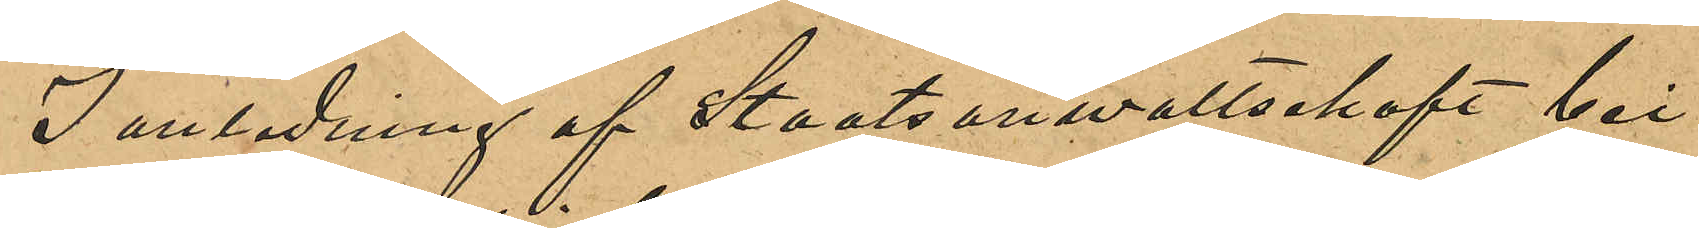I anledning af Staatsanwaltschaft bei
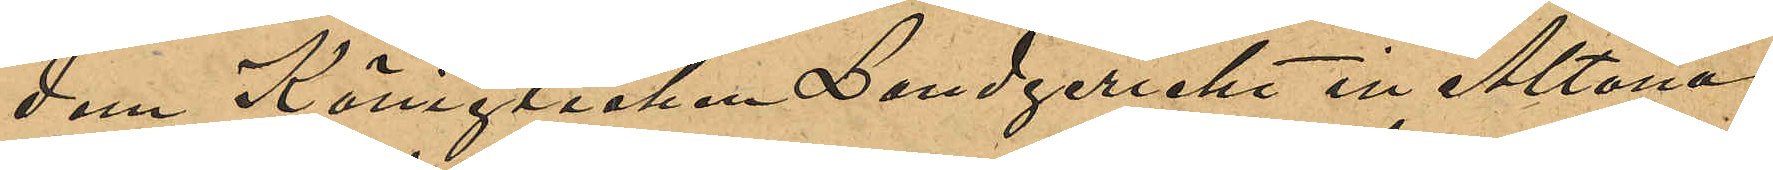dem Königlichen Landgericht in Altona
